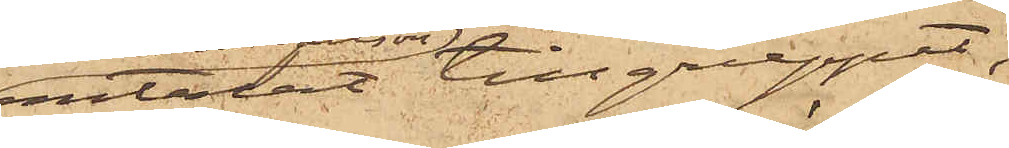omtalat tillgreppet,
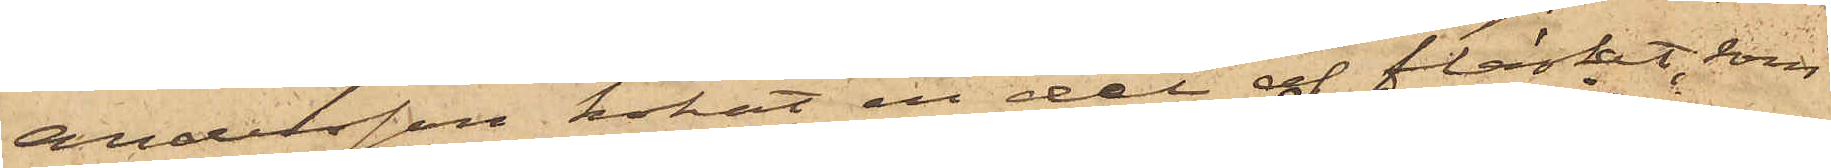Andersson kokat en del af fläsket, som
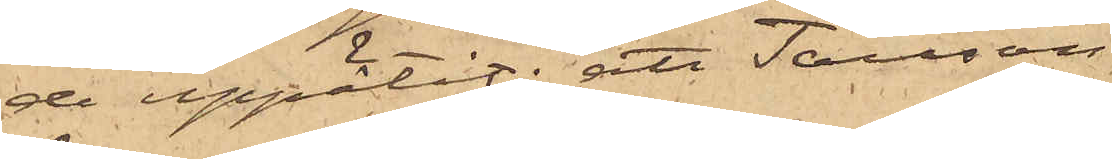de uppätit; att Tausson
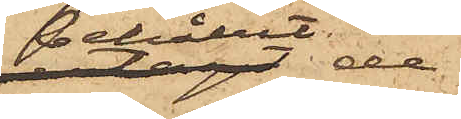behållit de
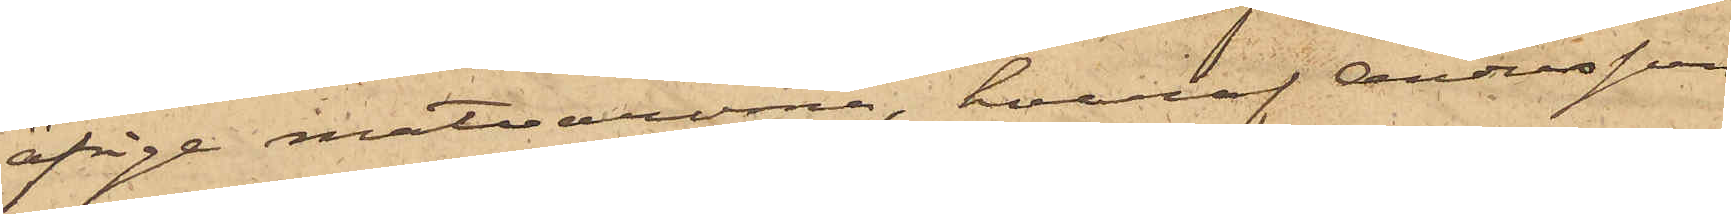öfrige matvarorna, hvaraf Andersson
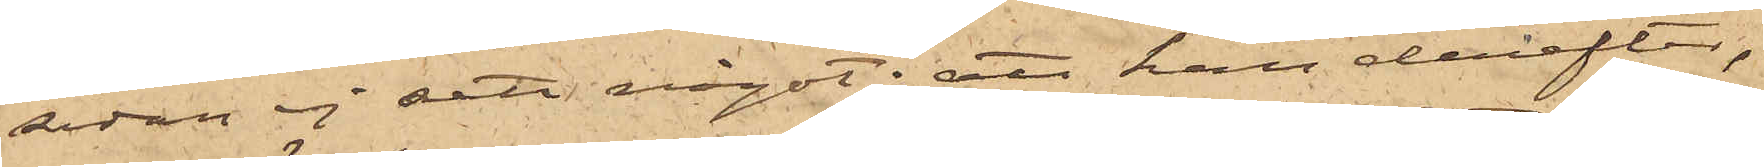sedan ej sett något; att han derefter,
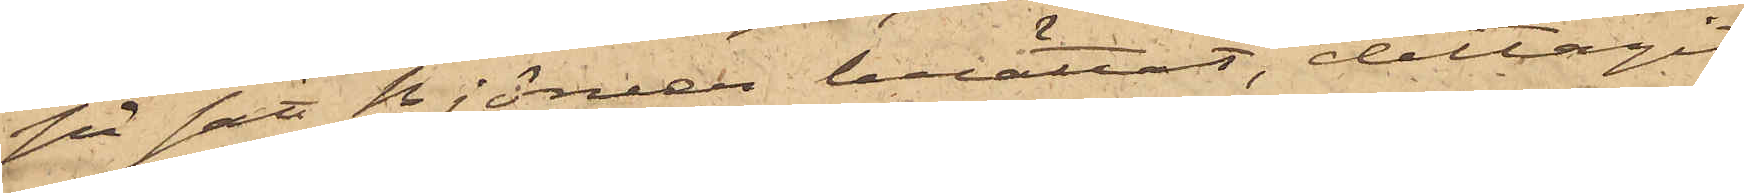på sätt Björner berättat, deltagit
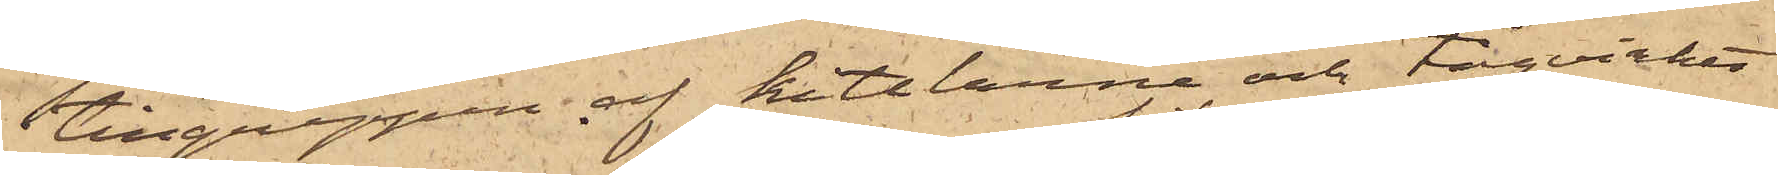i tillgreppen af kittlarna och tågvirket
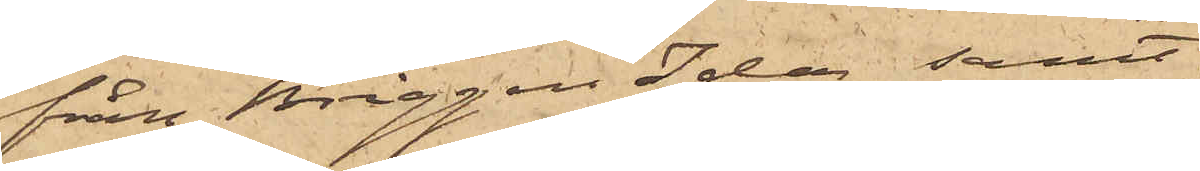från Briggen Ida samt
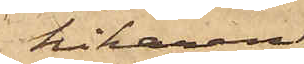kikaren,
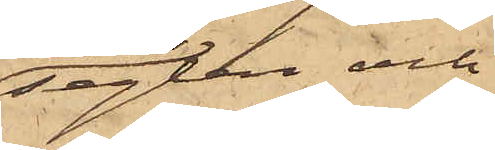seglen och
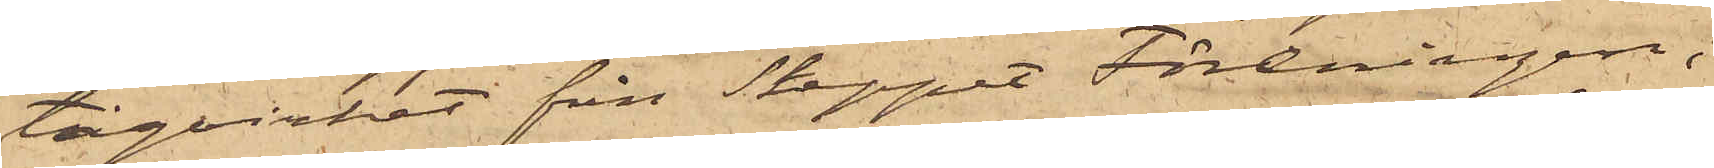tågvirket från Skeppet Föreningen;
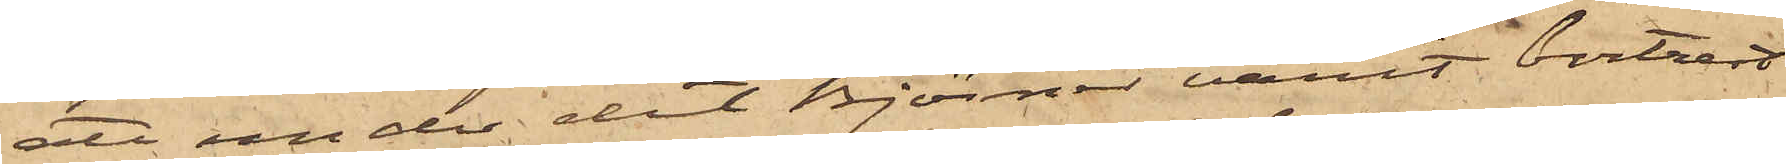att under det Björner varit bortrest
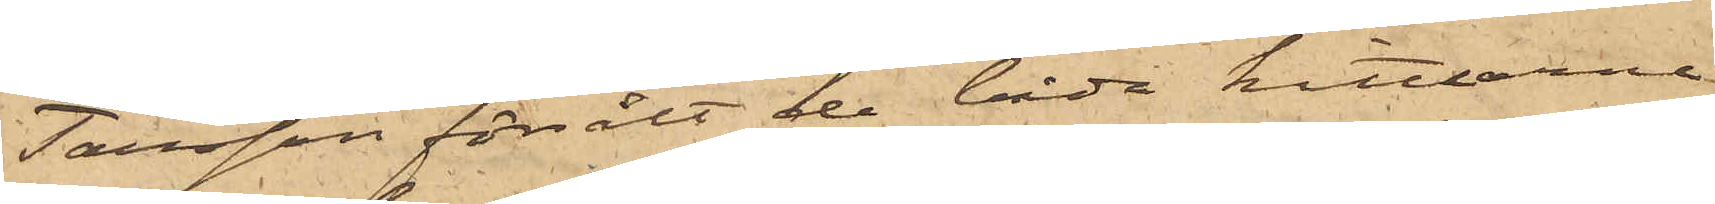Tausson försålt de båda kittlarne
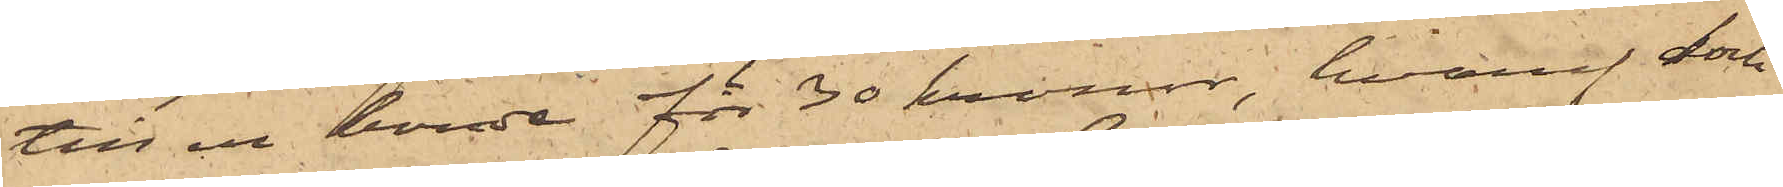till en bonde för 30 kronor, hvaraf dock
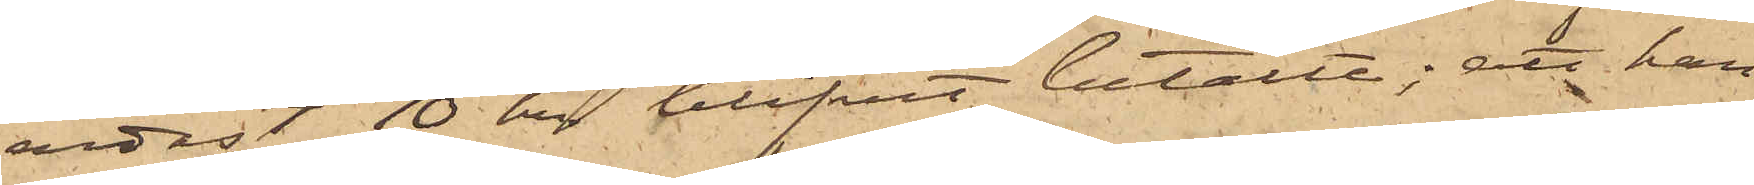endast 10 kr blifvit betalt; att han
